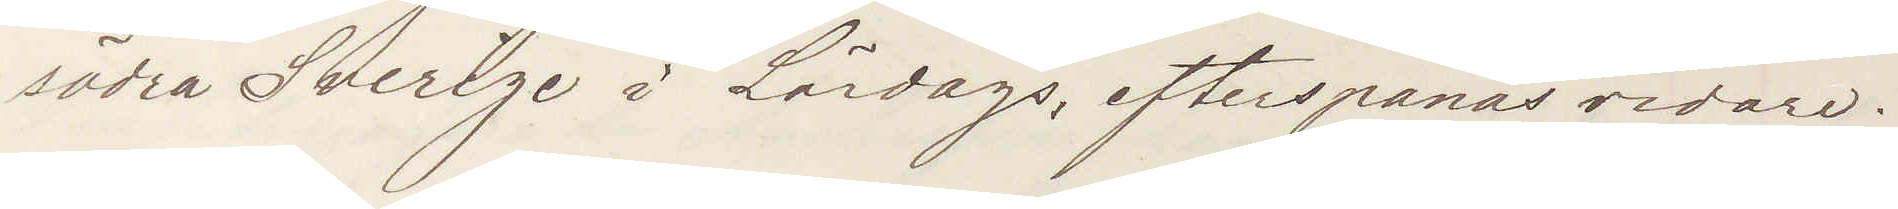södra Sverige i Lördags, efterspanas vidare.
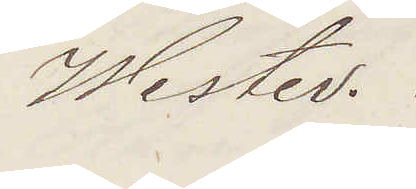Wester.
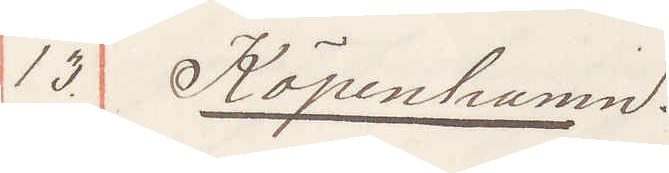13. Köpenhamn
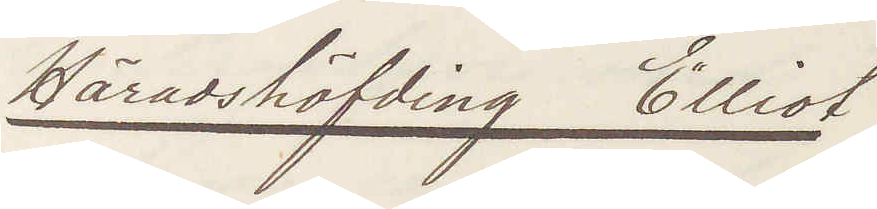Häradshöfding Elliot
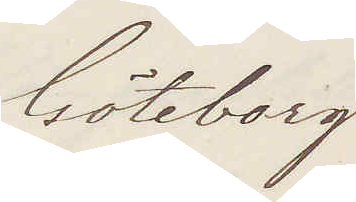Götborg
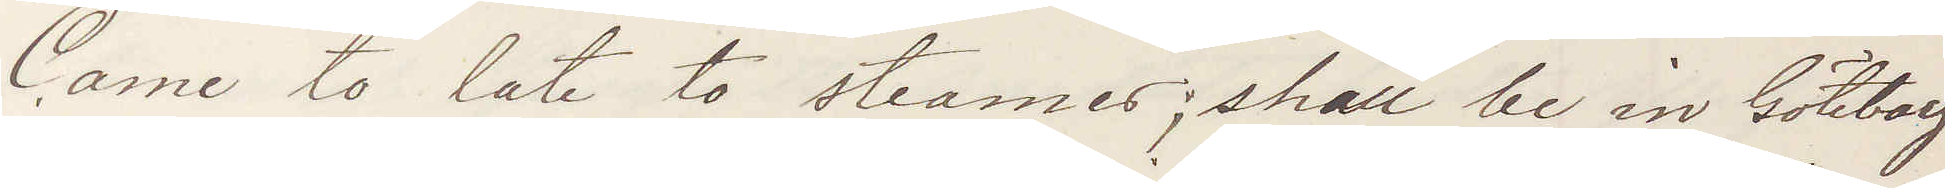Came to late to steamer; shall be in Göteborg
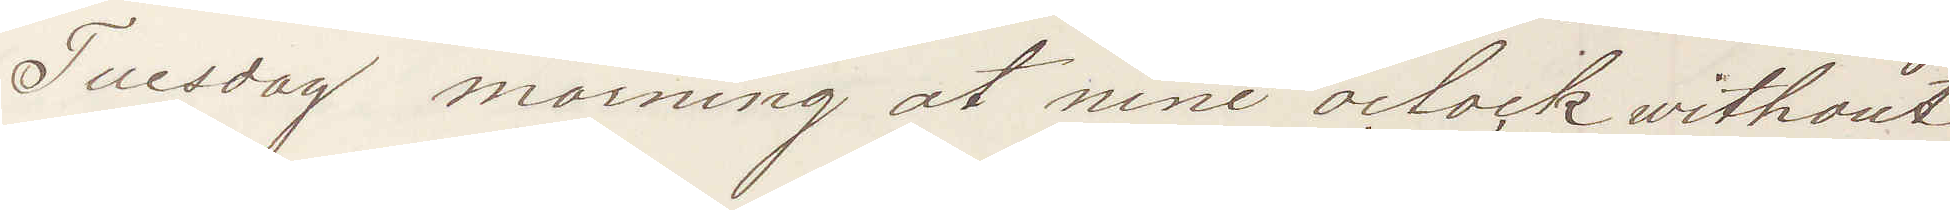Tuesday morning at nine oclock without
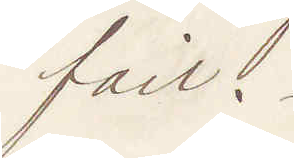fail.
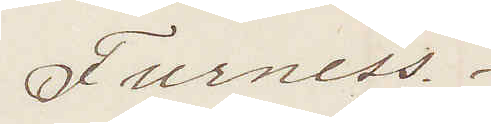Furness.
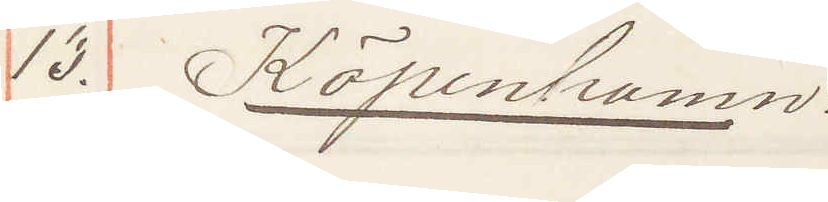13. Köpenhamn
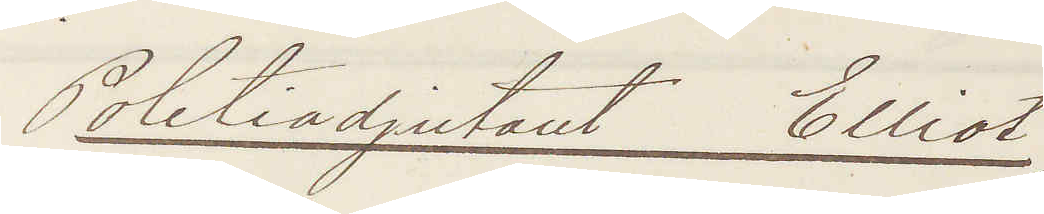Politiadjutant  Elliot
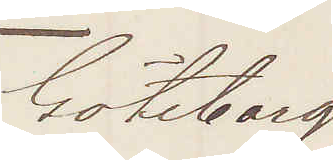Göteborg
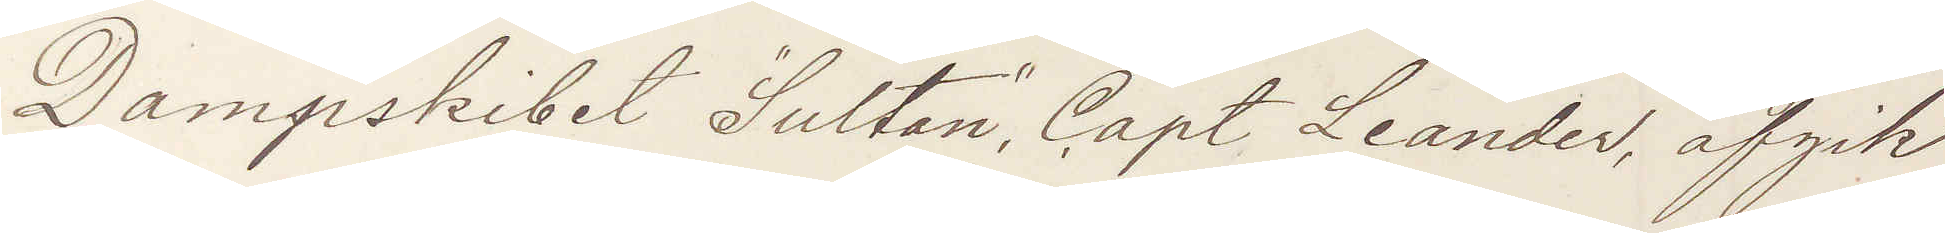Dampskibet "Sultan", Capt Leander, afgik
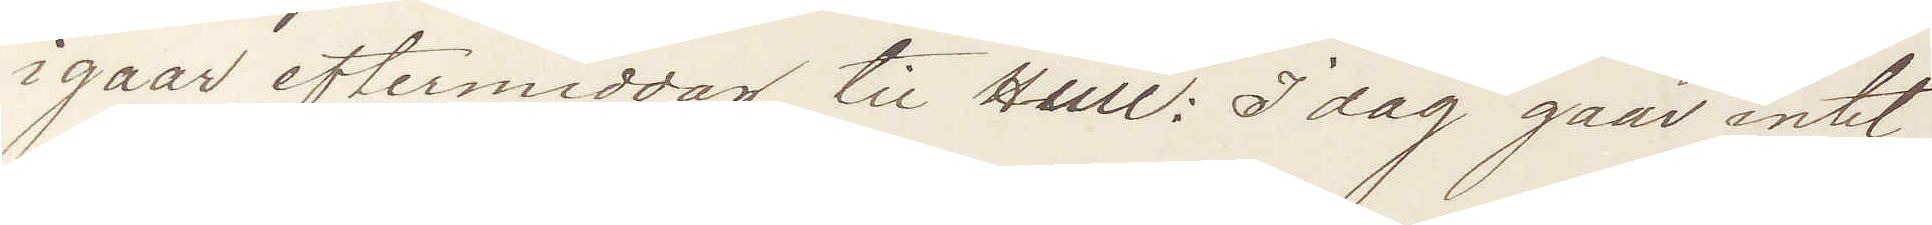igaar eftermiddag til Hull: Idag gaar intet
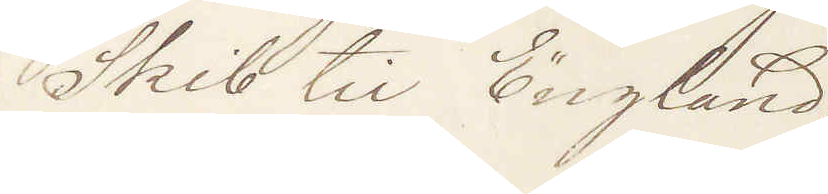Skib til England;
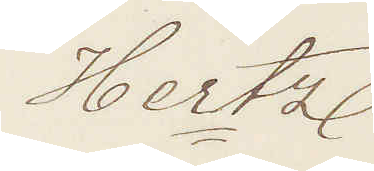Hertz
